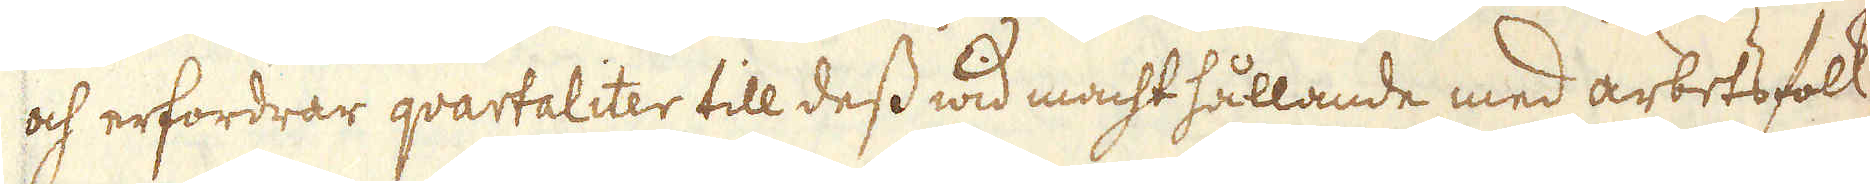och erfordrar quartaliter till dess wid macht hållande med arbetsfolk
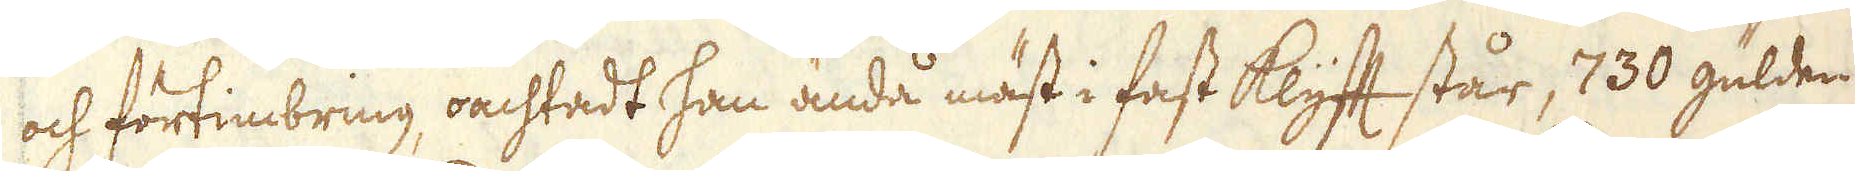och förtimbring oachtadt han ändå mäst i fast klyft står, 730 gülden,
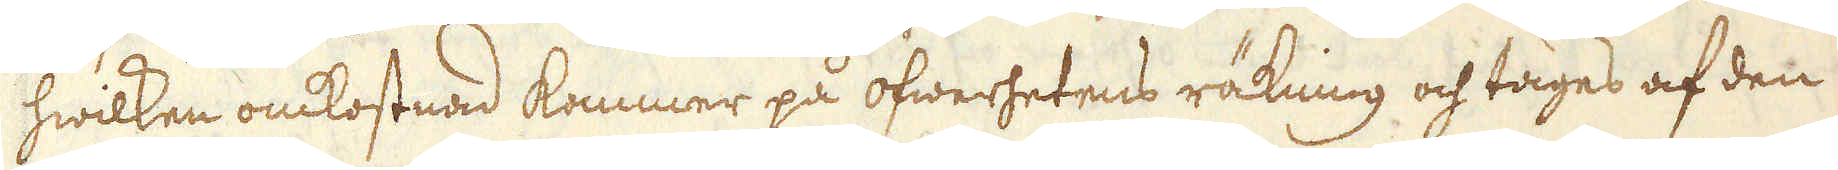hwilken omkostnad kommer på öfwerhetens räkning och tages af den
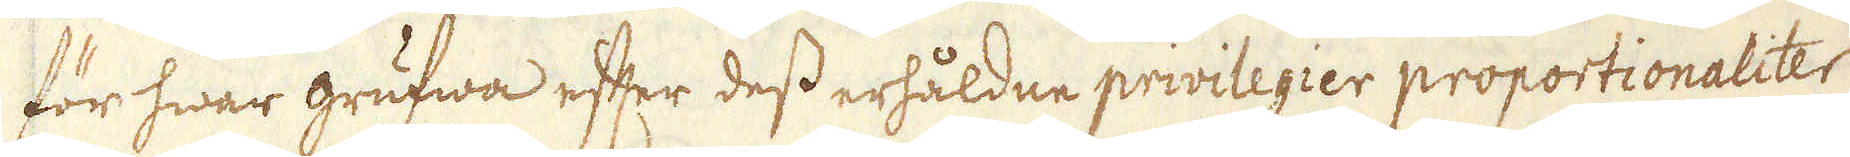för hwar grufwa efter dess erhåldne privilegier proportionaliter
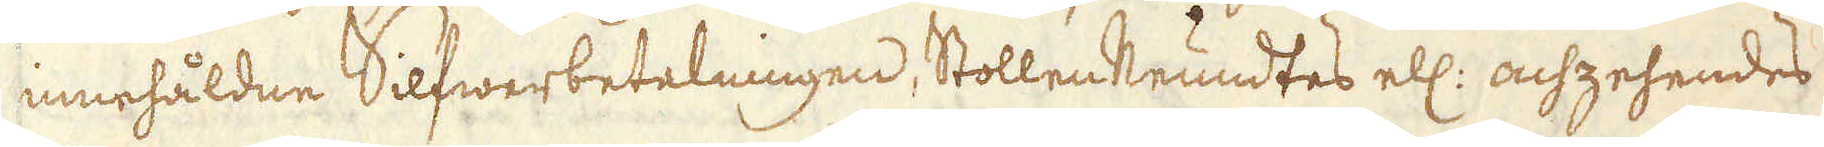innehåldne Silfwerbetelningen, Stollen Neundtes ell: achzehendes
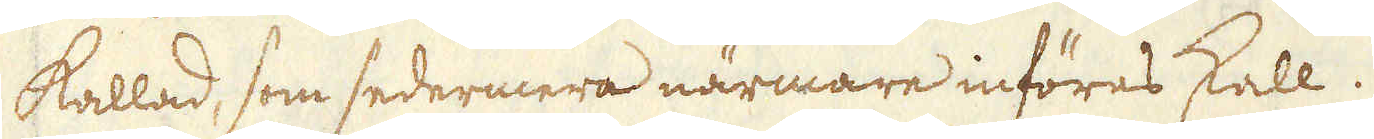kallad, som sedermera närmare införes skall.
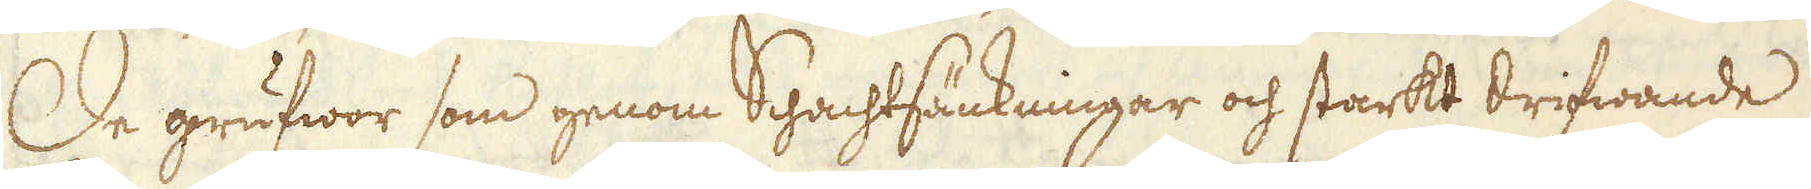De grufwor som genom Schachtsänkningar och starkt drifwande
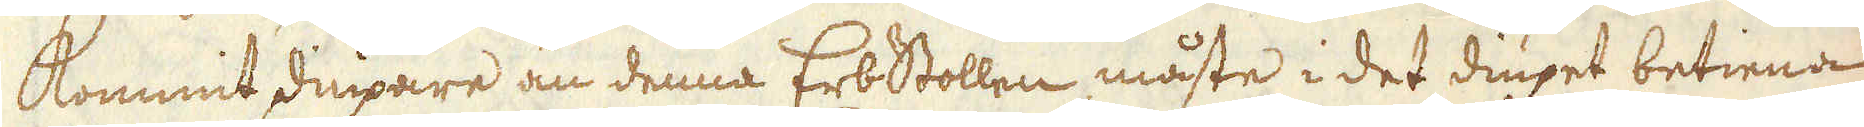kommit diupare än denna Erbstollen måste i det diupet betiena
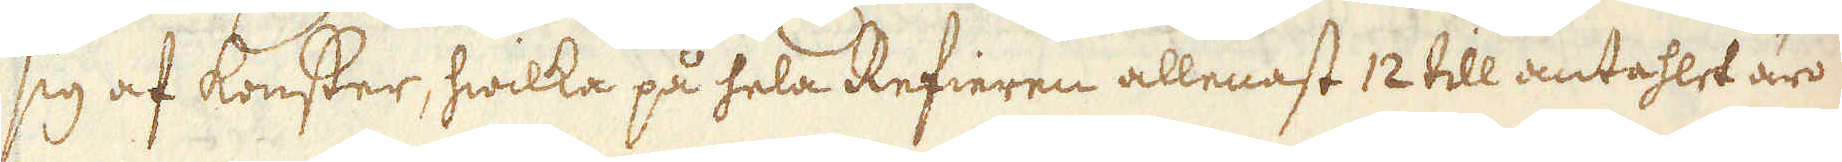sig af konster, hwilka på hela Refieren allenast 12 till antahlet äro
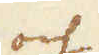och
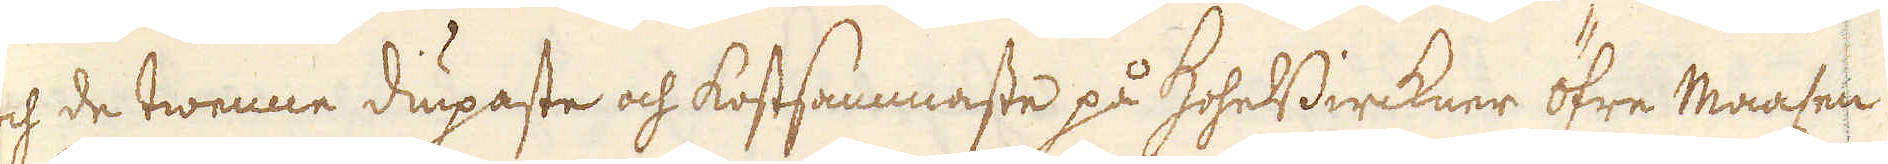och de twenne diupaste och kostsammaste på HoheBirckner öfre Maasen
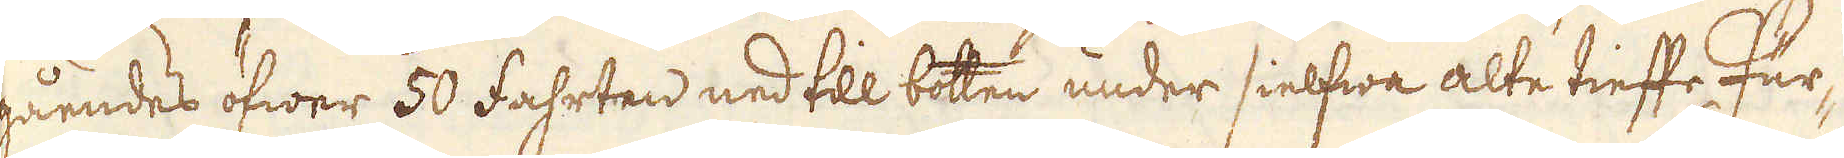gåendes öfwer 50 Fahrten ned till botten under sielfwa alte tieffe Für-
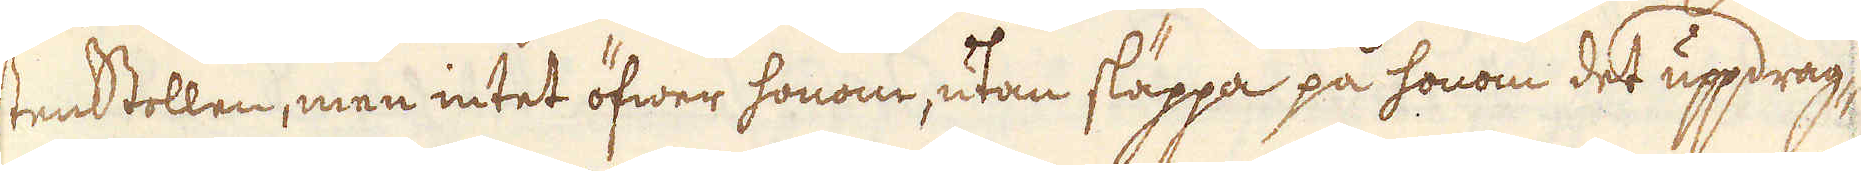stenstollen, men intet öfwer honom, utan släppa på honom det uppdrag-
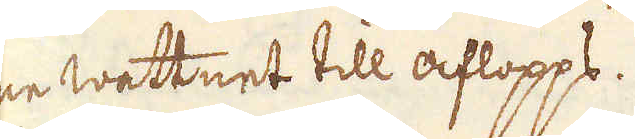ne wattnet till aflopps.
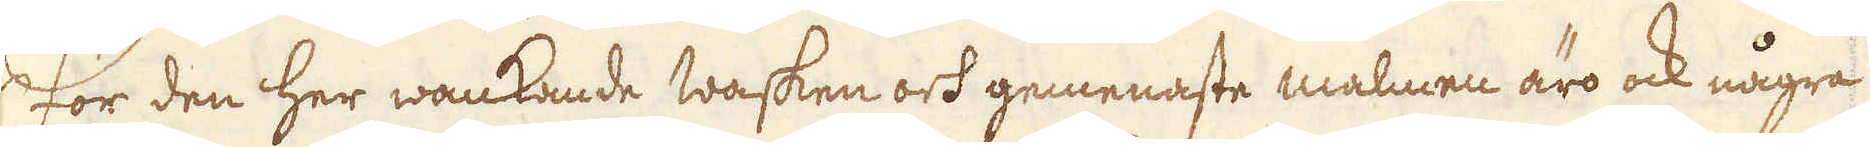För den her wankande wasken och gemenaste malmen äro ock några
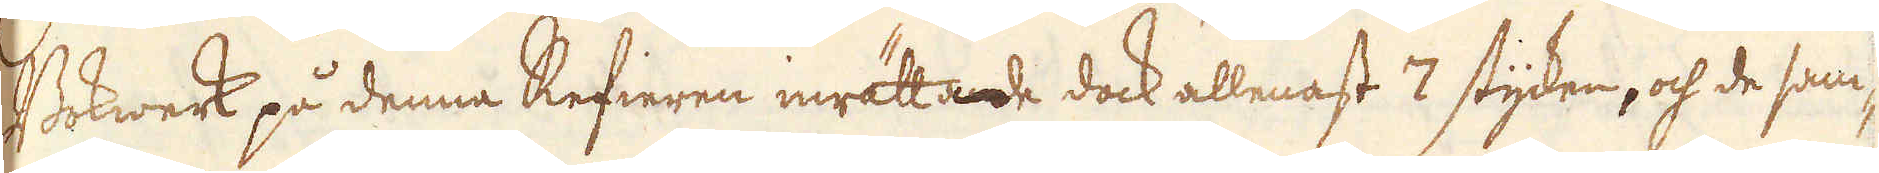Bokwerk på denna Refieren inrättade dock allenast 7 stycken, och de sam-
